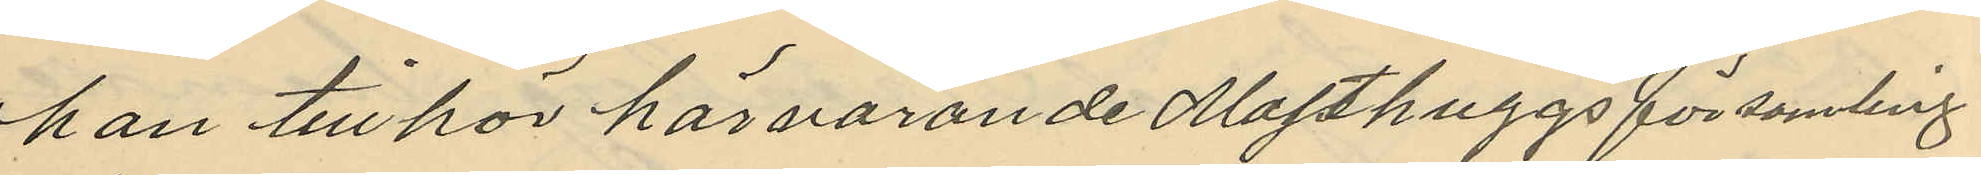han tillhör härvarande Masthuggsförsamling
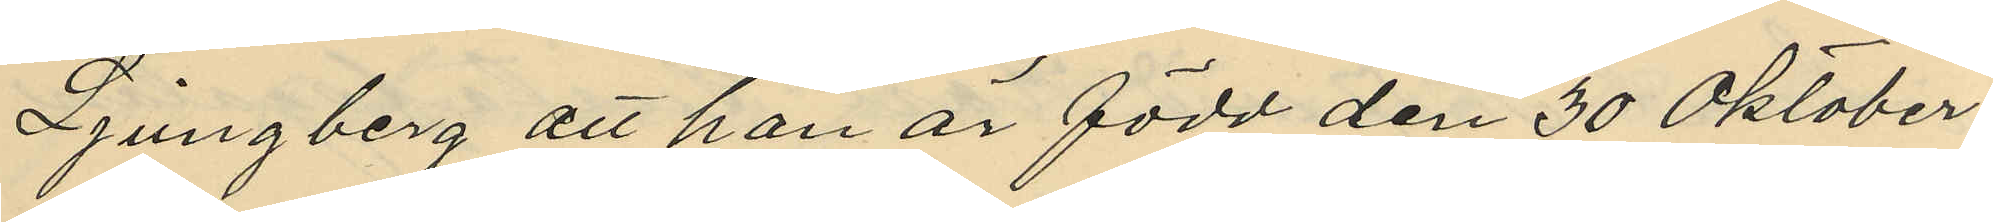Ljungberg att han är född den 30 Oktober
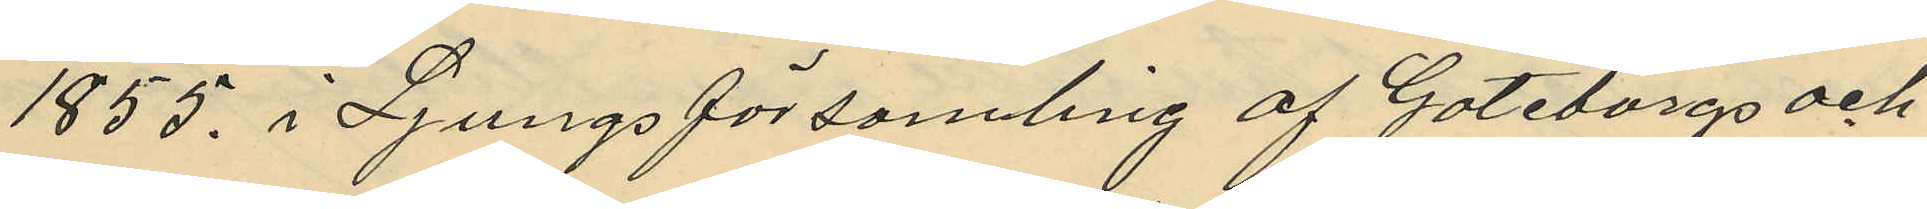1855. i Ljungs församling af Göteborgs och
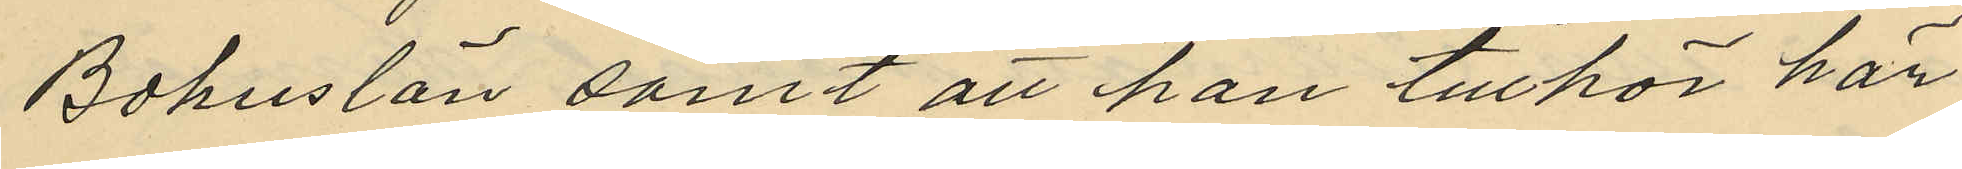Bohus län samt att han tillhör här
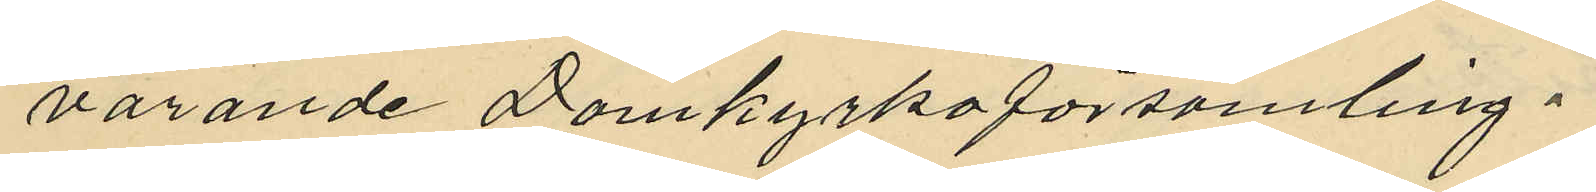varande Domkyrkoförsamling.
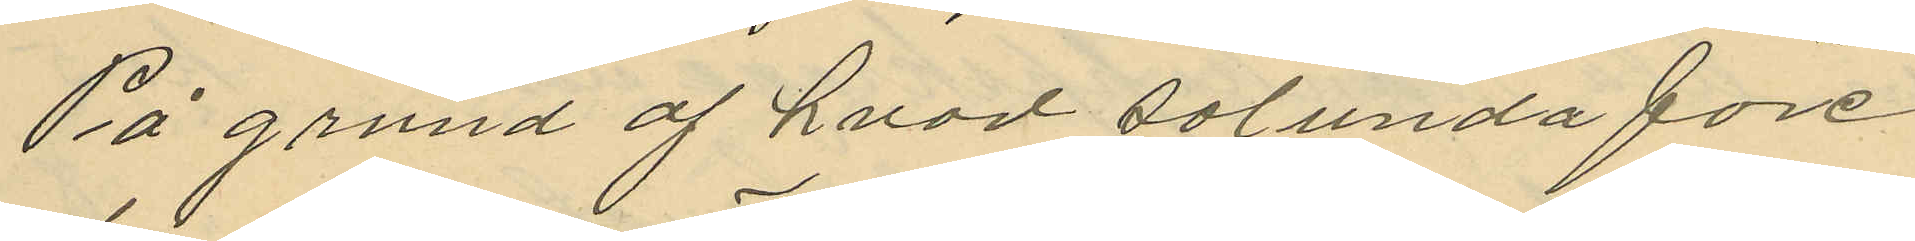På grund af hvad sålunda före¬
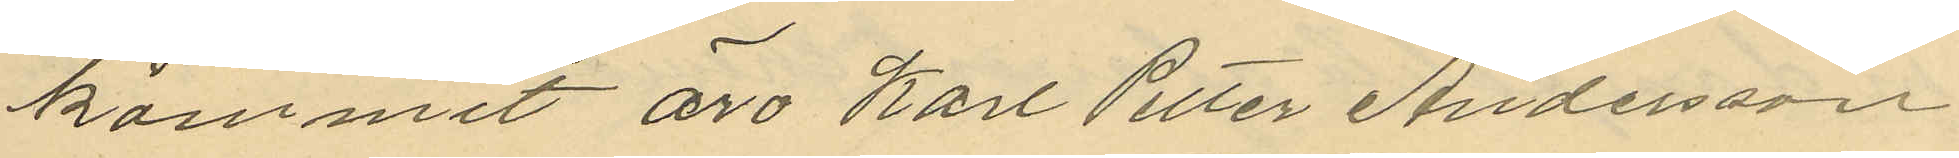kommit äro Karl Petter Andersson
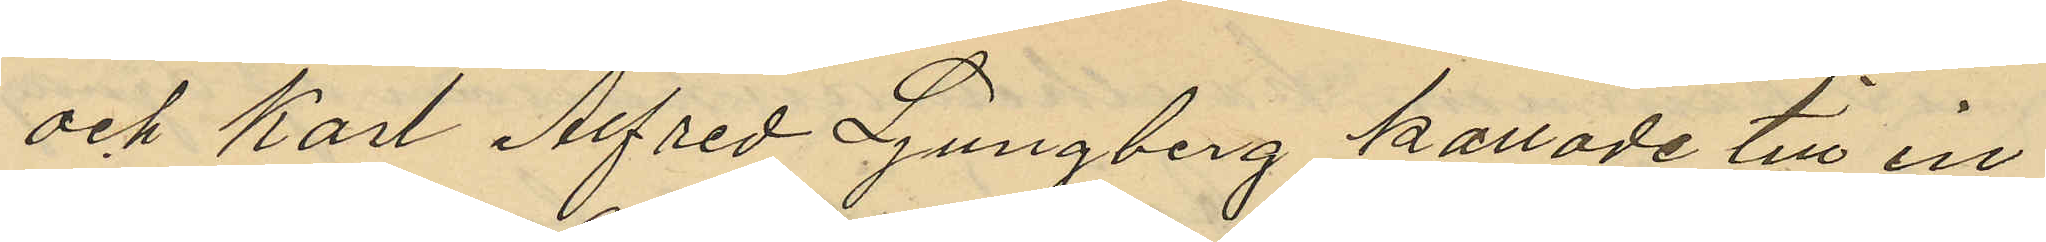och Karl Alfred Ljungberg kallade till in¬
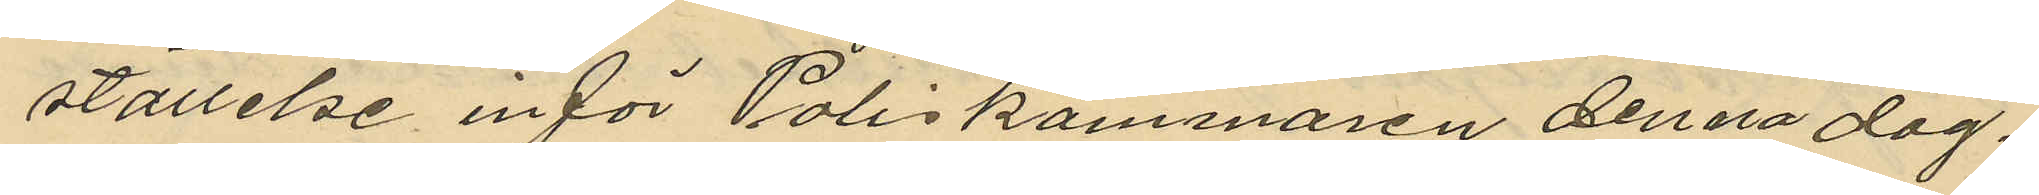ställelse inför Poliskammaren denna dag.
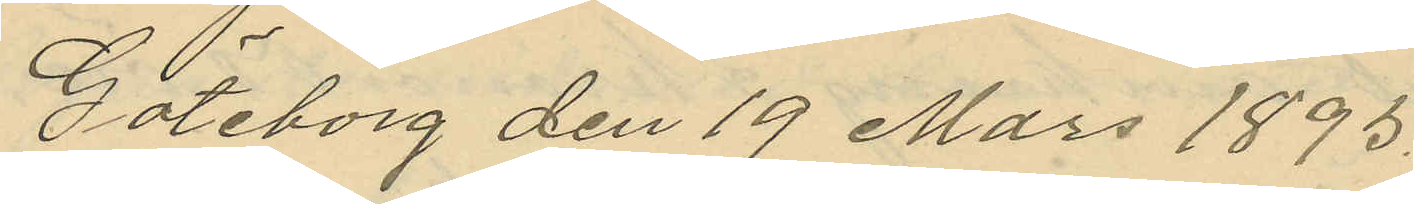Göteborg den 19 Mars 1895.
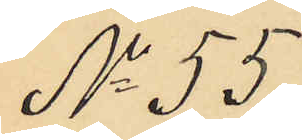No 55.
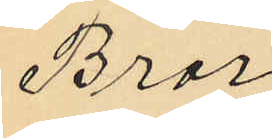Bror
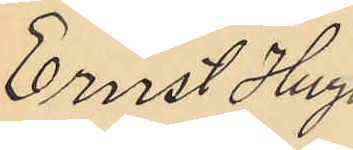Ernst Hugo
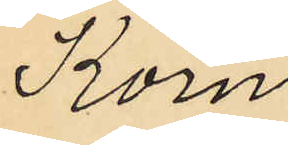Korn
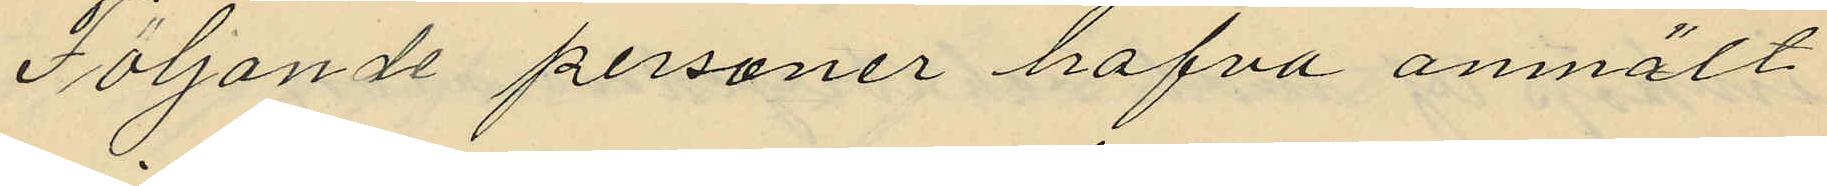Följande personer hafva anmält
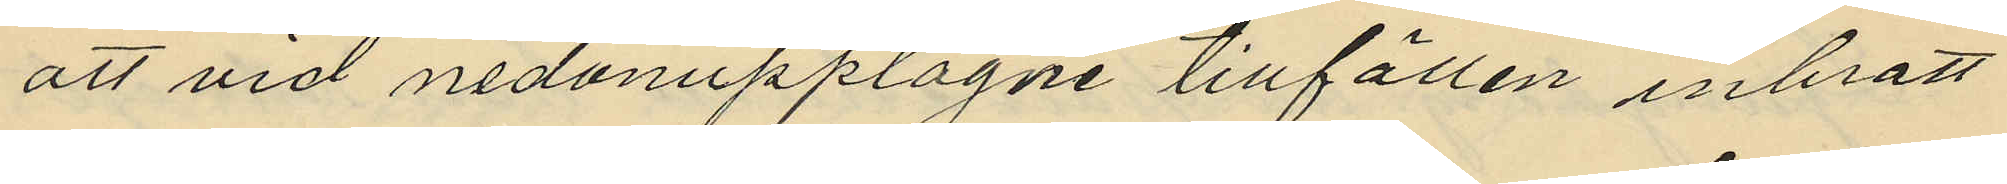att vid nedanupptagne tillfällen inbrott
